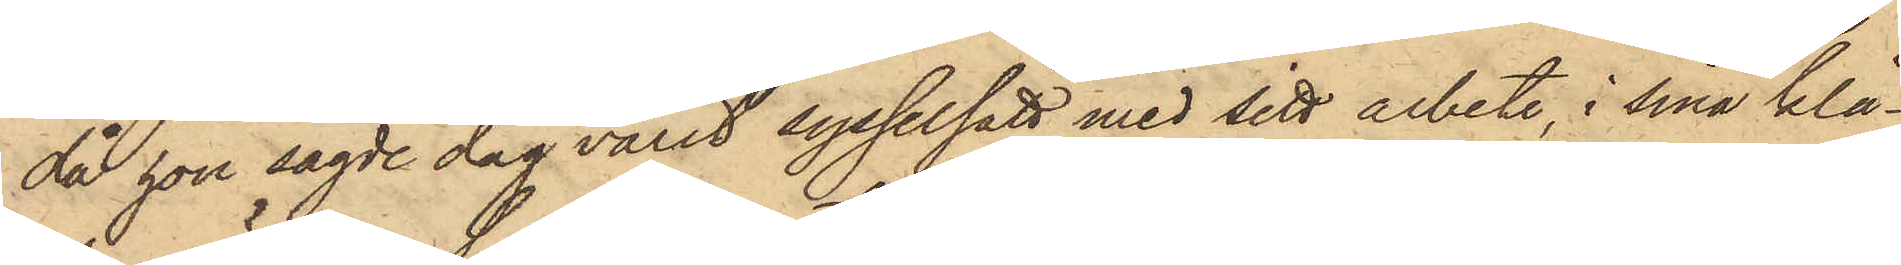då hon sagde dag varit sysselsatt med sitt arbete, i sina klä¬
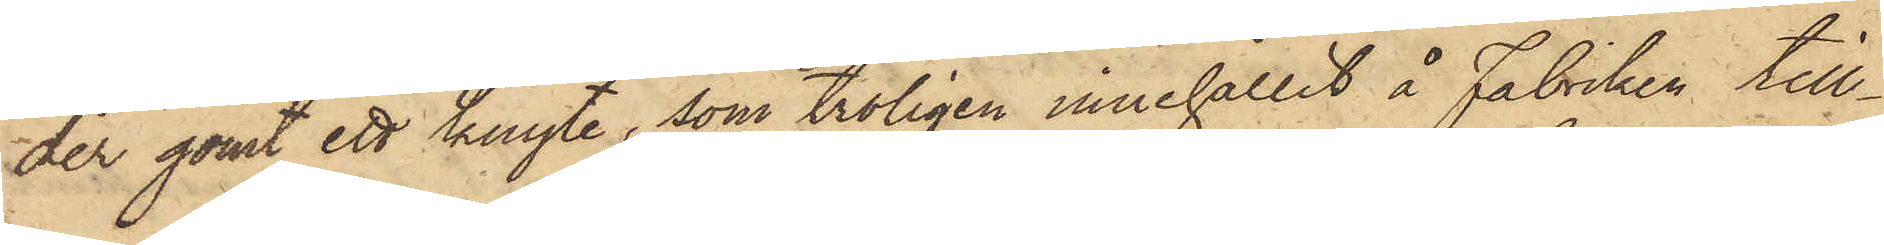der gömt ett knyte, som troligen innehållit å Fabriken till¬
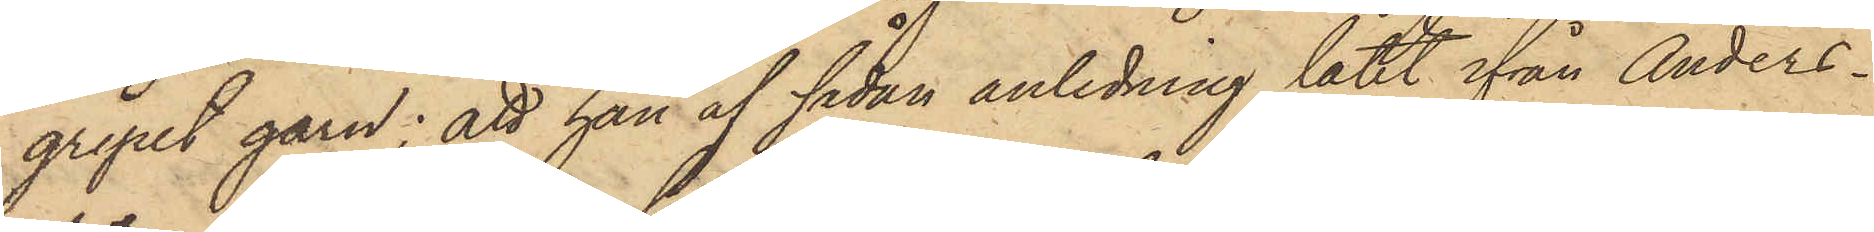gripet garn; att han af sådan anledning låtit ifrån Anders¬
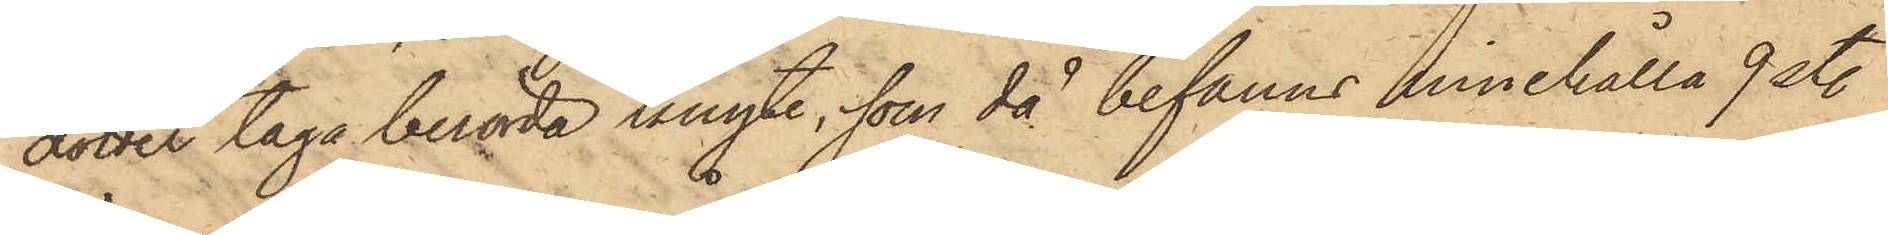dotter taga berörda knyte, som då befanns innehålla 9 st.
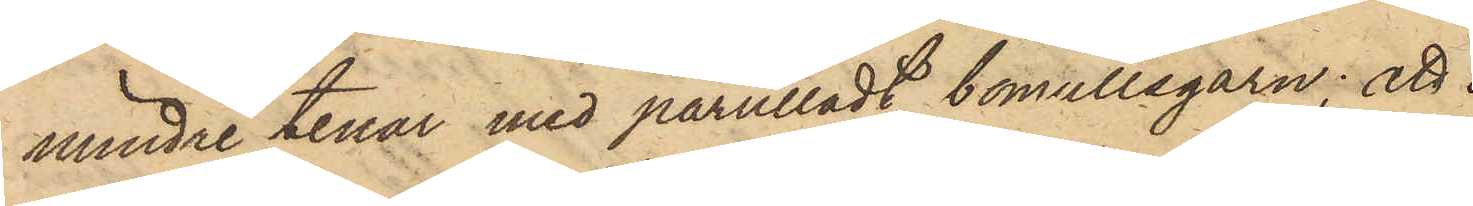mindre tenar med pårulladt bomullsgarn; att
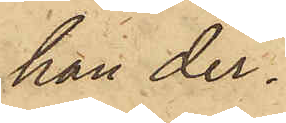han der¬
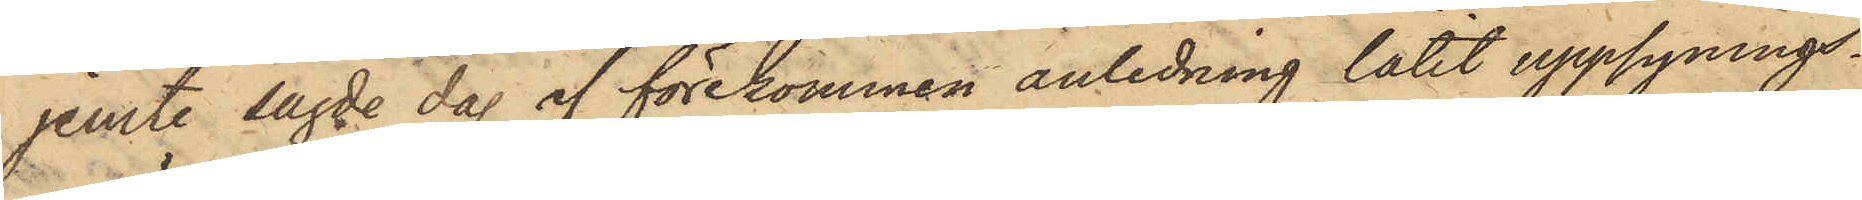jemte sagde dag af förekommen anledning låtit uppsynings¬
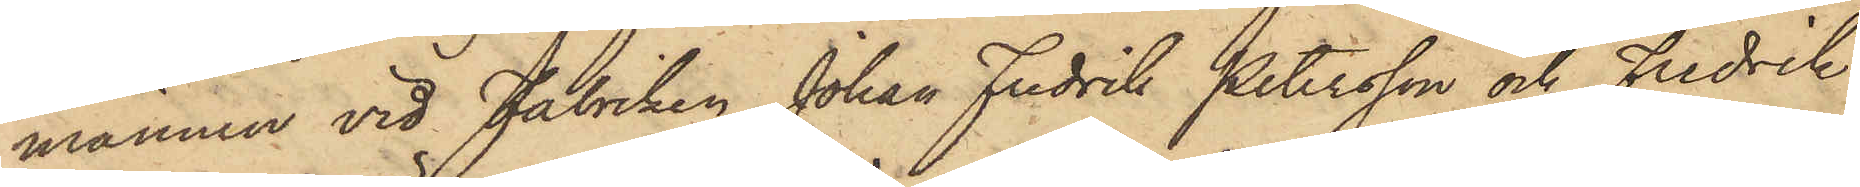mannen vid Fabriken Johan Fredrik Petersson och Fredrik
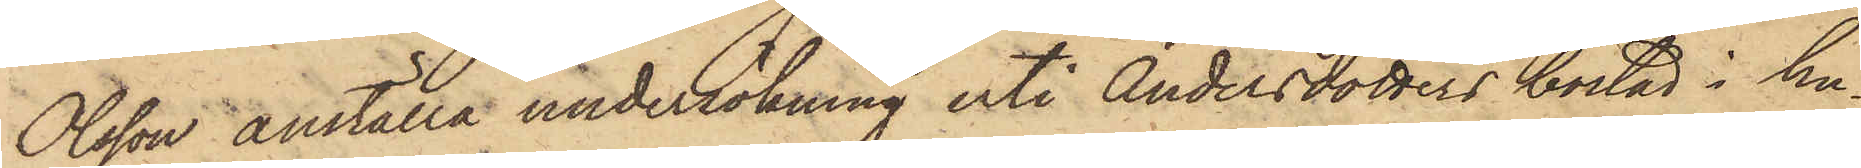Olsson anställa undersökning uti Andersdotters bostad i hu¬
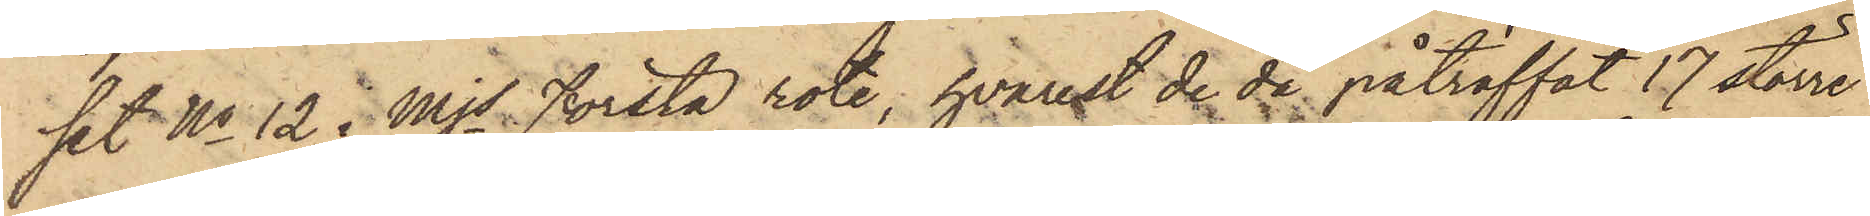set No 12 i Mjs Första rote, hvarest de de påträffat 17 större
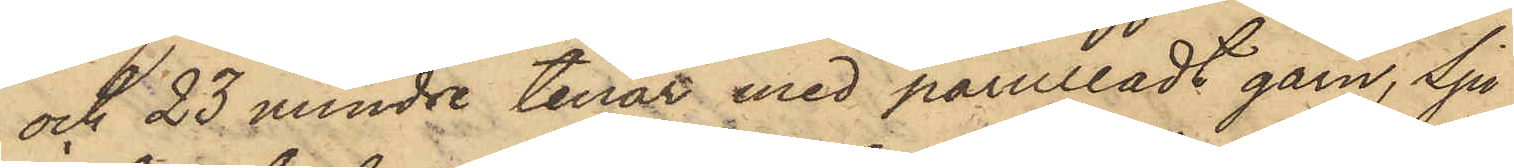och 23 mindre tenar med pårulladt garn, Sju
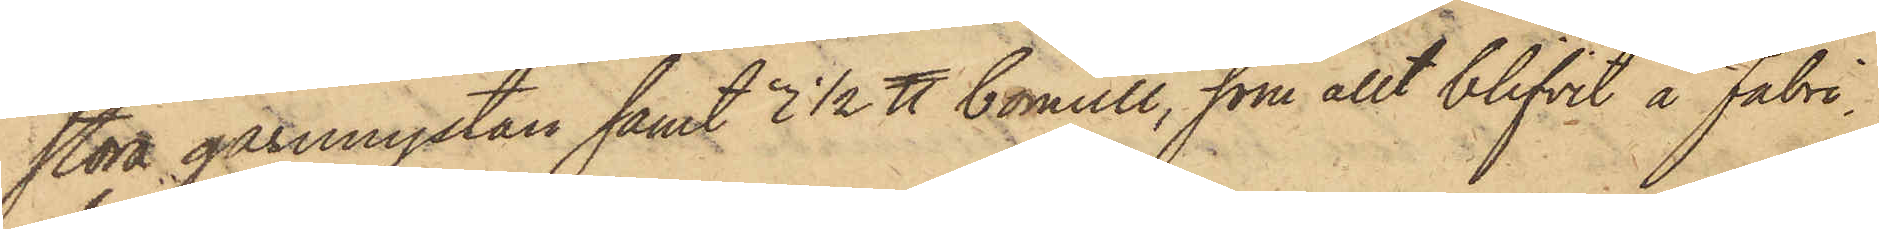stora garnnystan samt 3 1/2 ℔ bomull, som allt blifvit å fabri¬
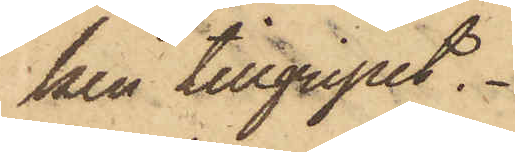ken tillgripet.
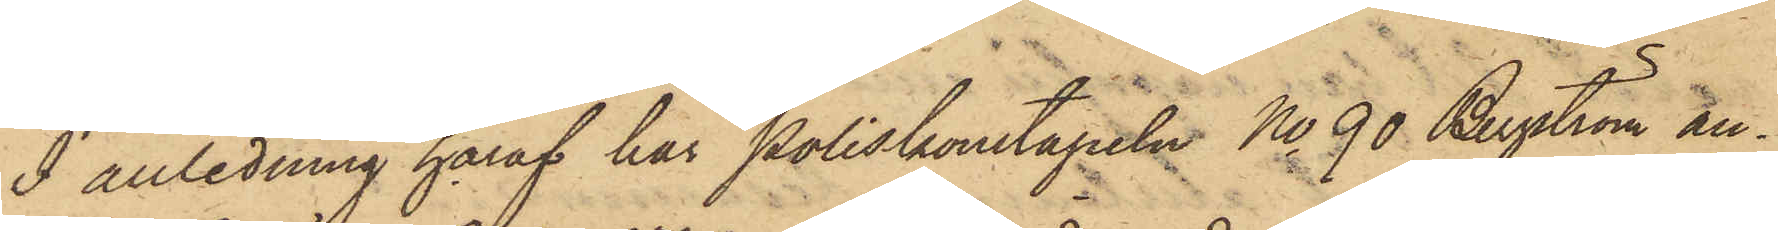I anledning häraf har Poliskonstapeln No 90 Bergström an¬
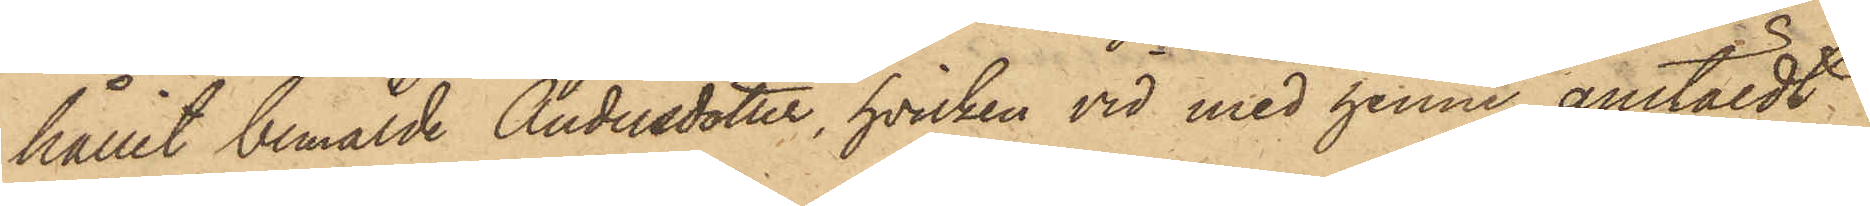hållit bemälde Andersdotter, hvilken vid med henne anstäldt
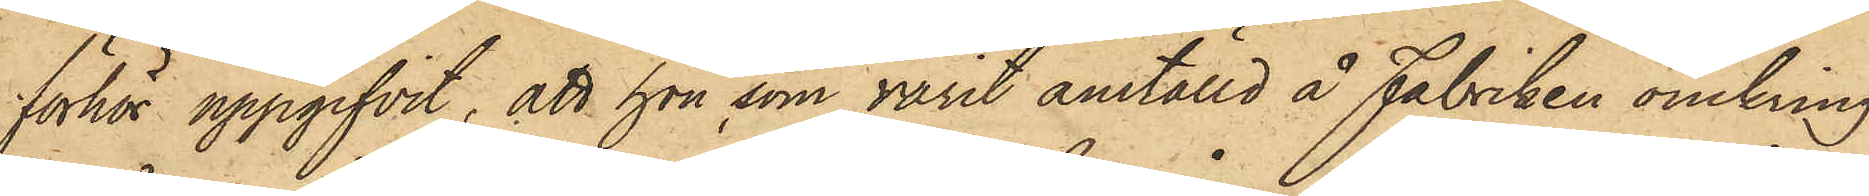förhör uppgifvit, att hon som varit anställd å Fabriken omkring
